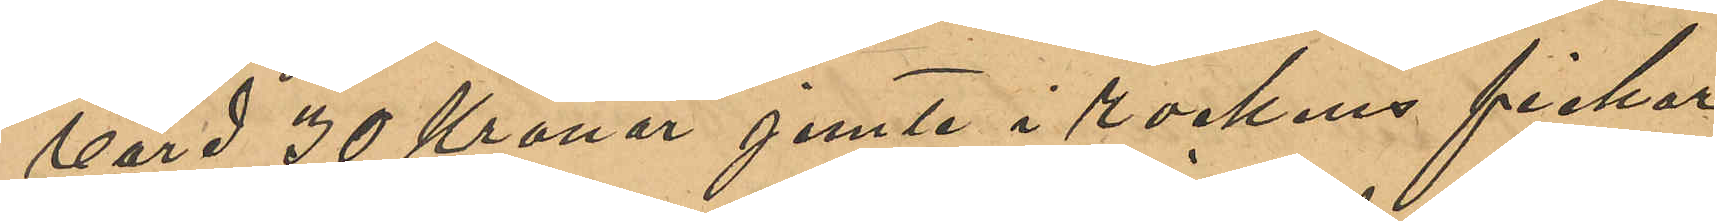värd 30 Kronor jemte i rockens fickor
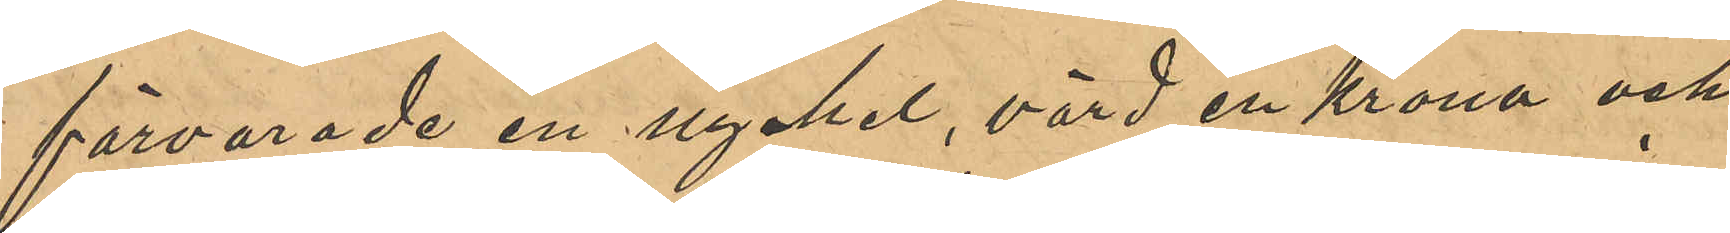förvarade en nyckel, värd en Krona och
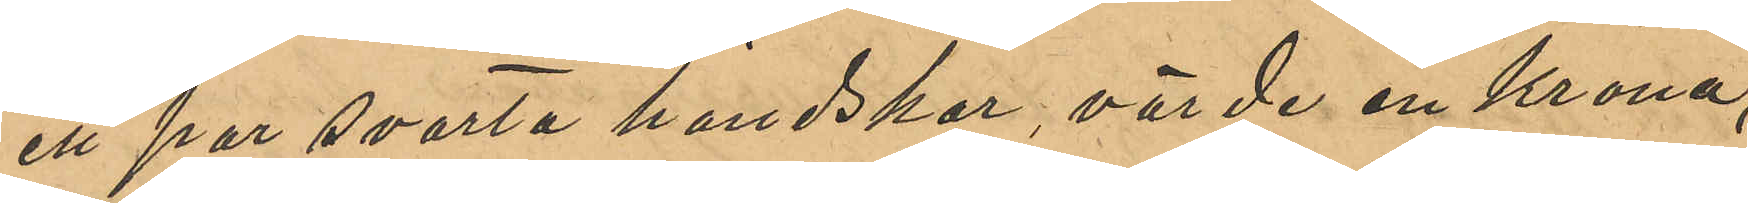ett par svarta handskar, värde en Krona,
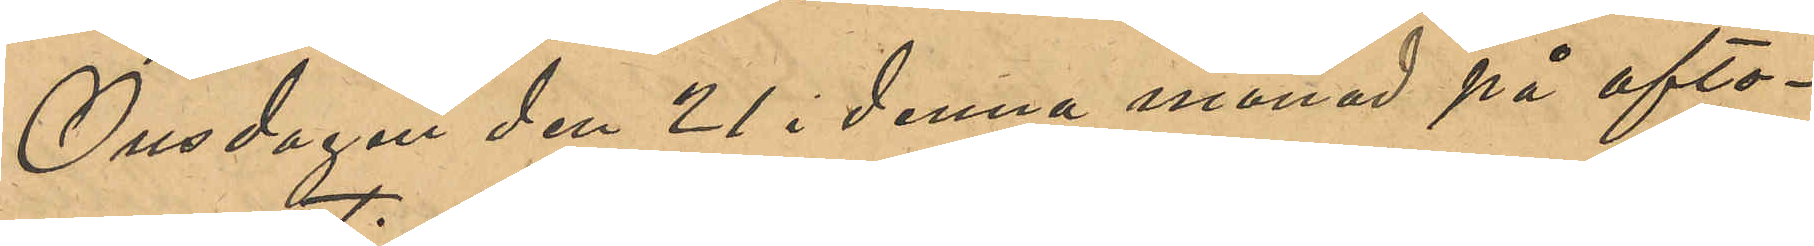Onsdagen den 21 denna månad på afto¬
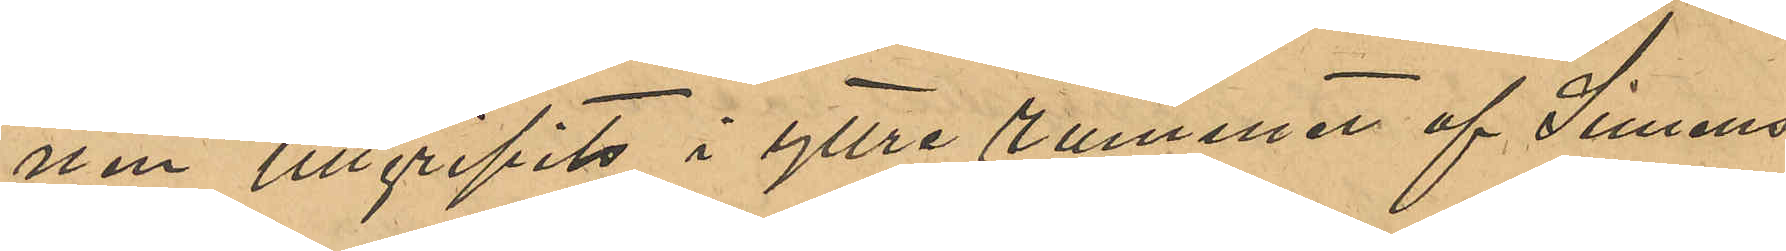nen tillgripits i yttre rummet af  Simens
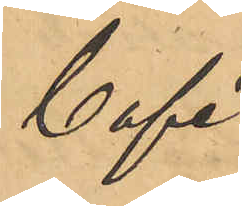Café.
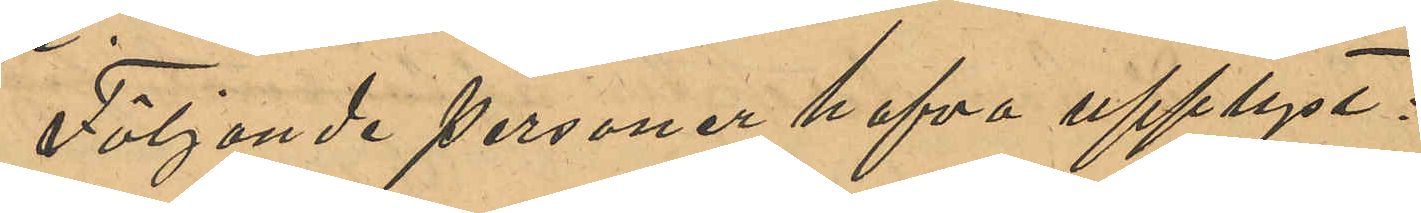Följande personer hafva upplyst:
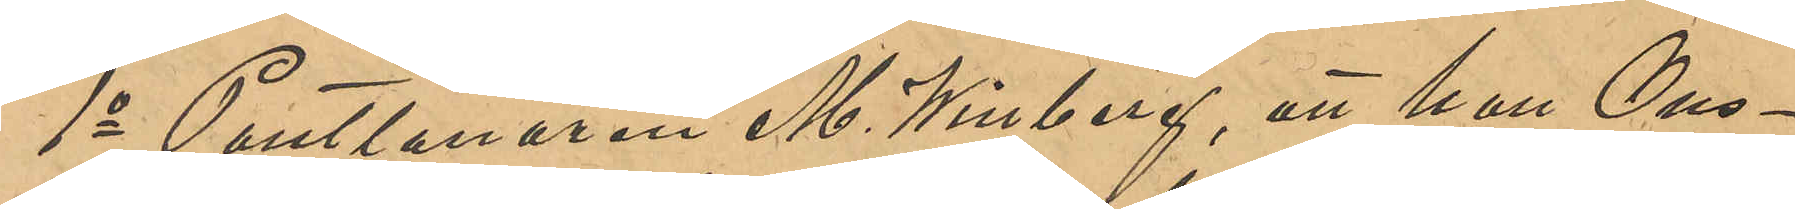1o Pantlånaren M. Winberg, att han Ons¬
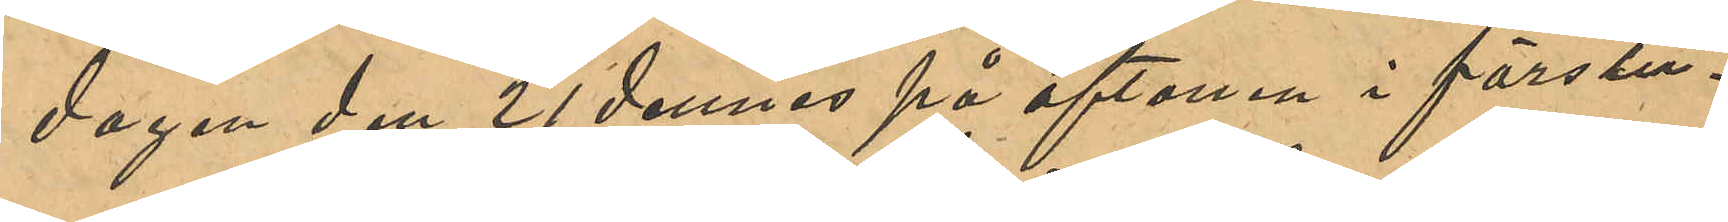dagen den 21 dennes på aftonen i förstu¬
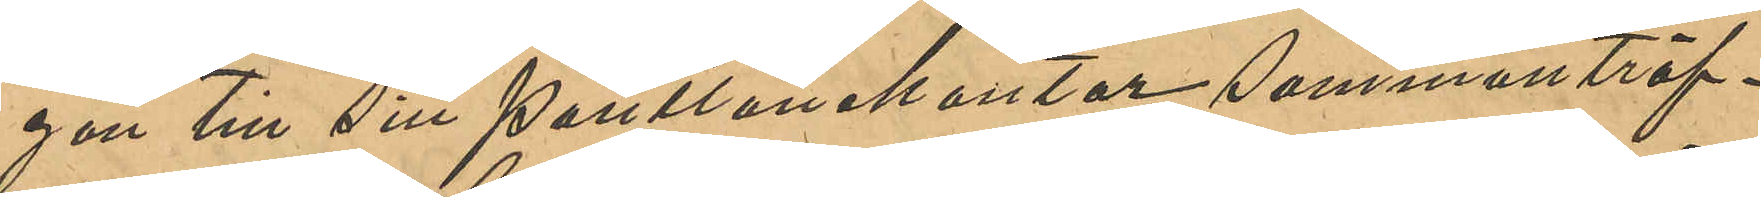gan till sitt Pantlånekontor sammanträf¬
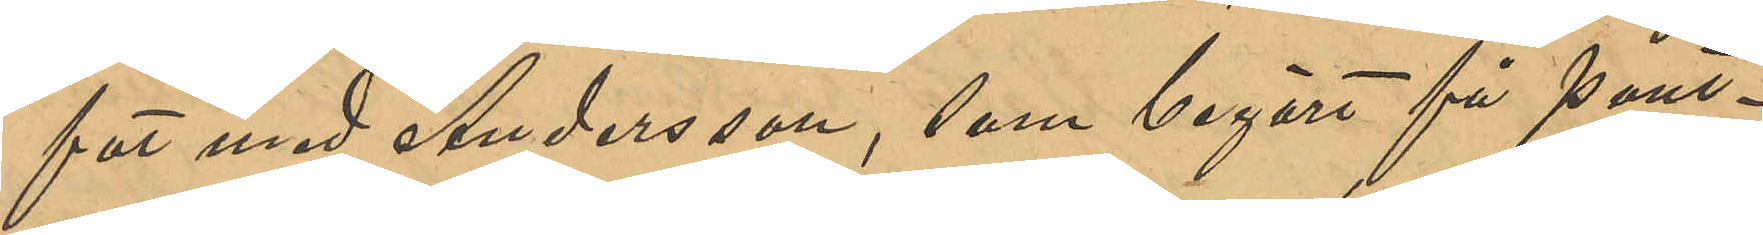fat med Andersson, som begärt få pant¬
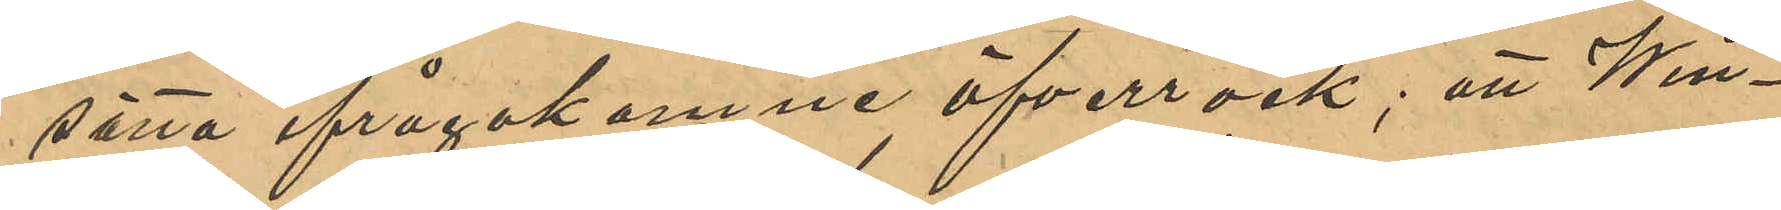sätta ifrågakomne öfverrock; att Win¬
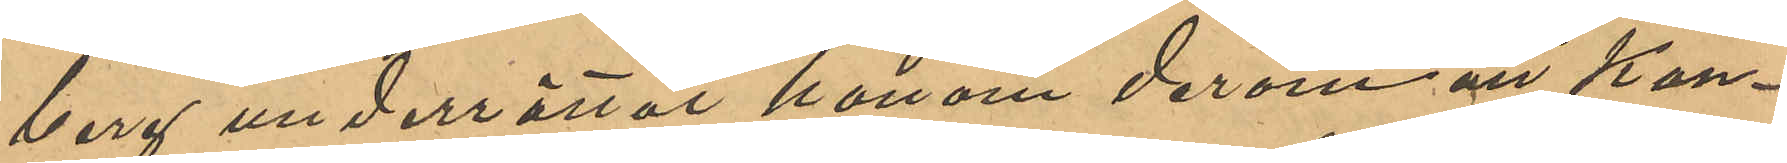berg underrättat honom derom att Kon¬
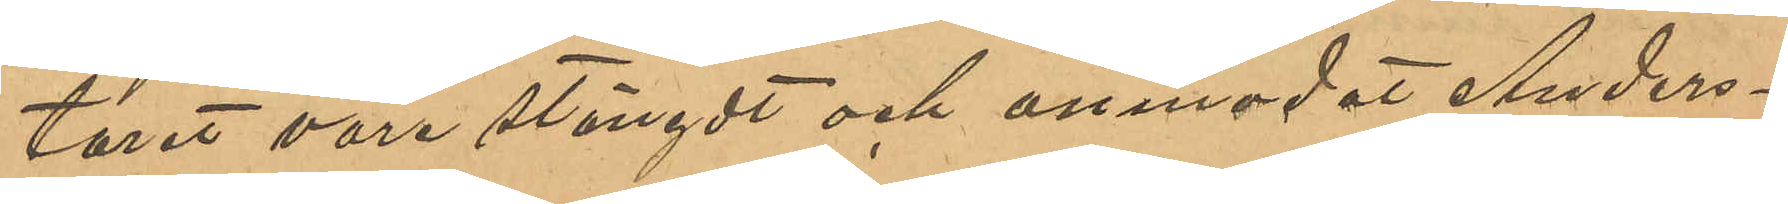toret vore stängt och anmodat Anders¬
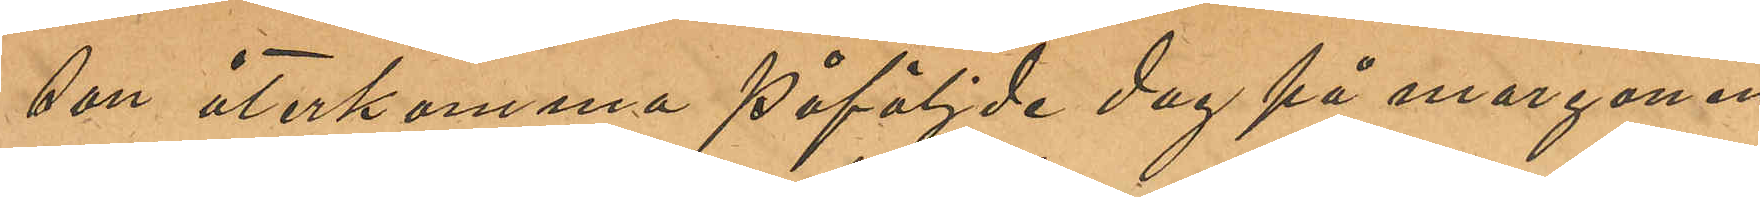son återkomma påföljde dag på morgonen
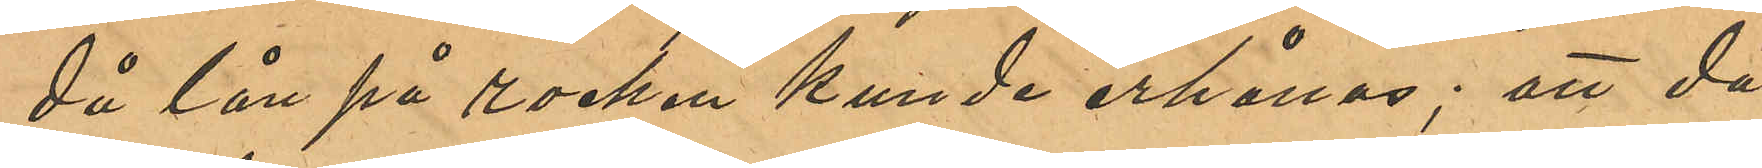då lån på rocken kunde erhållas; att då
